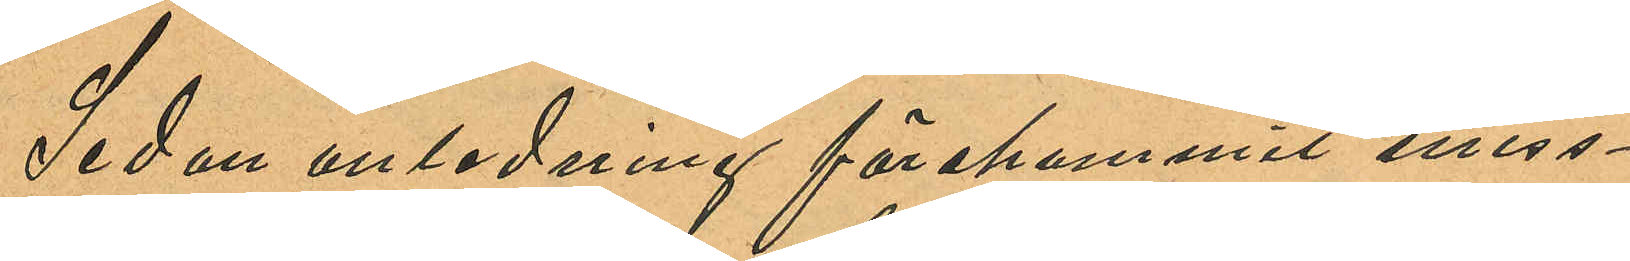Sedan anledning förekommit miss¬
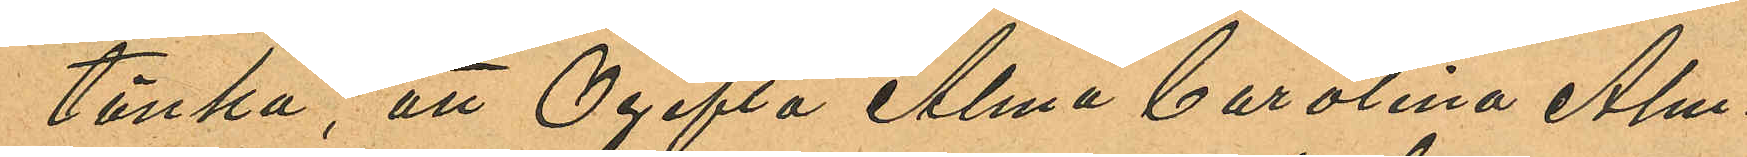tänka, att Ogifta Alma Carolina Alm¬
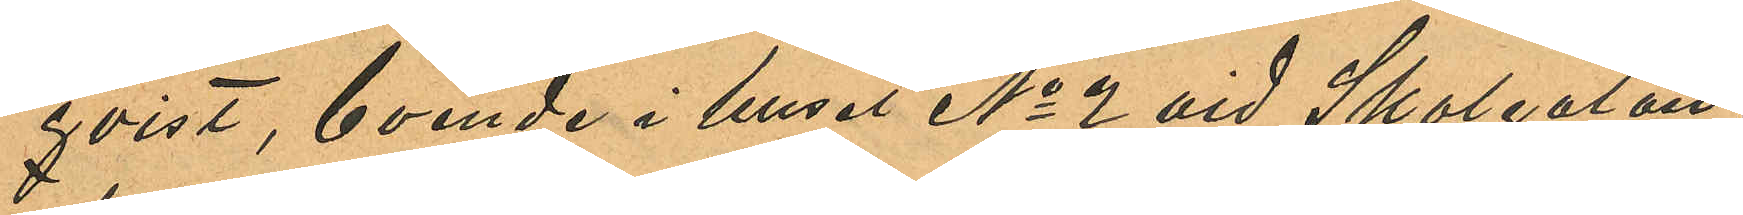qvist, boende i huset No 2 vid Skolgatan,
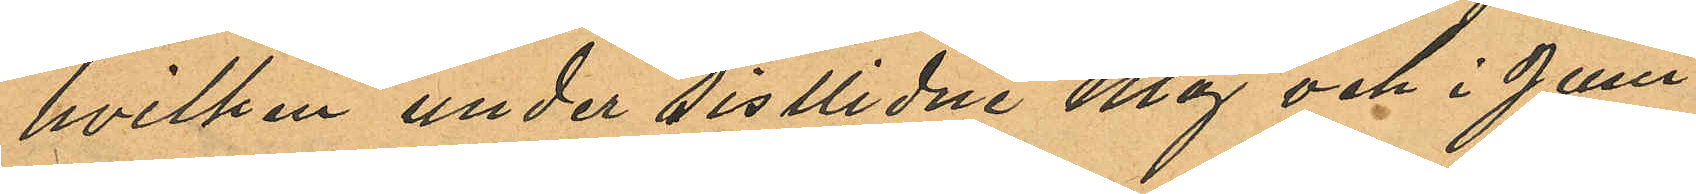hvilken under sistlidne Maj och i Juni
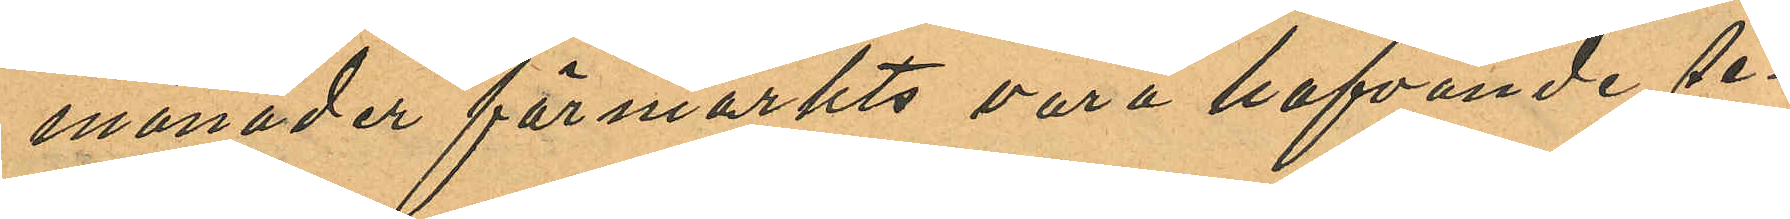månader förmärkts vara hafvande, se¬
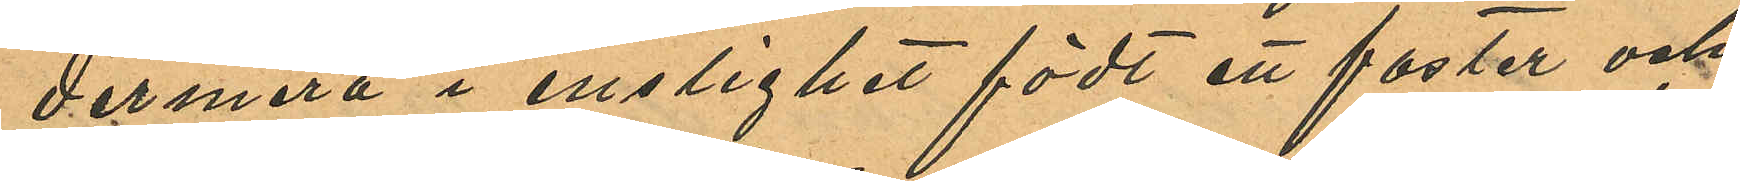dermera i enslighet födt ett foster och
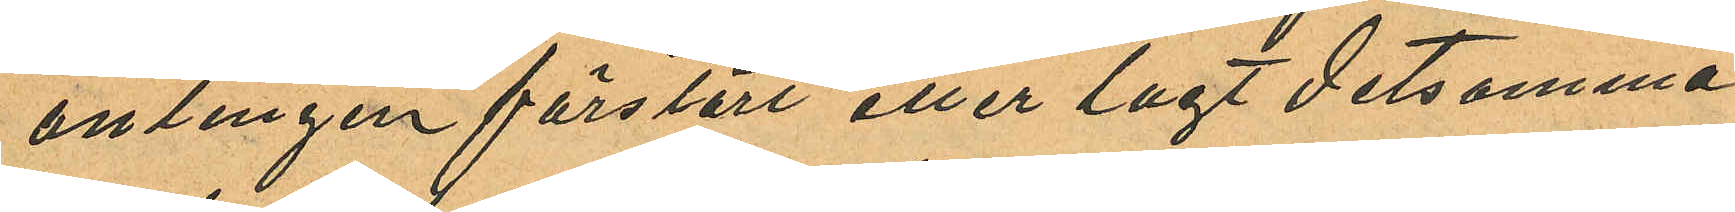antingen förstört eller lagt detsamma
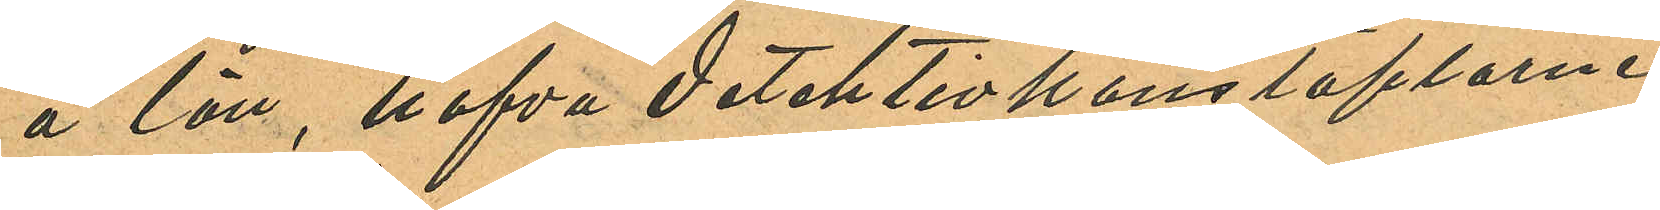å lön, hafva detektivkonstaplarne
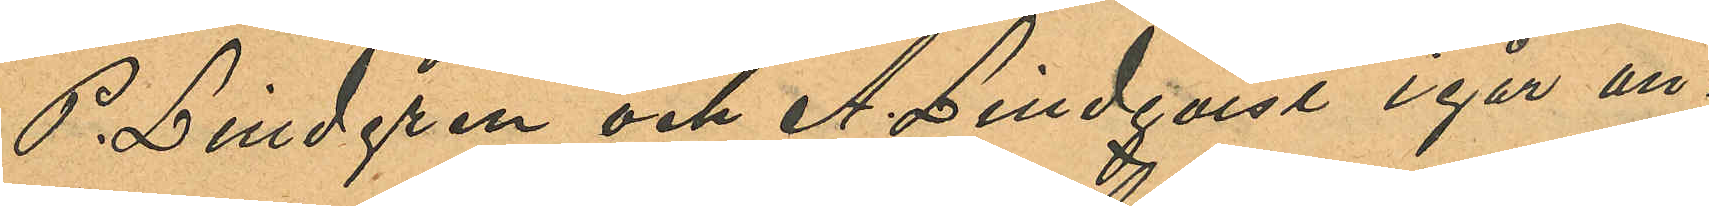P. Lindgren och A. Lindqvist igår an¬
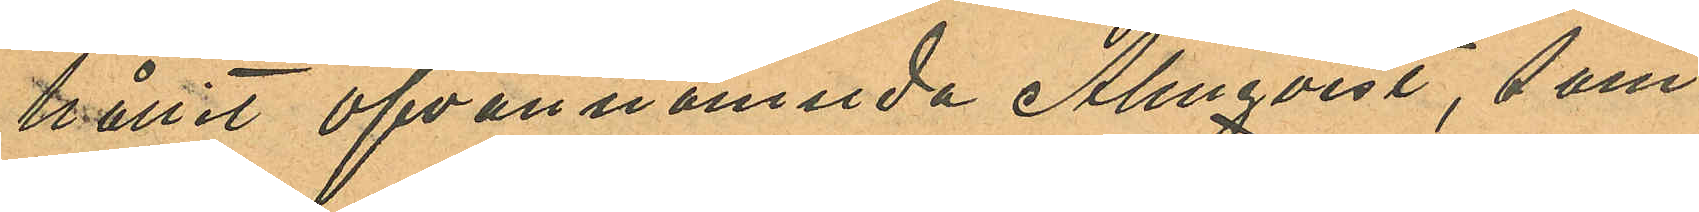hållit ofvannämnda Almqvist, som
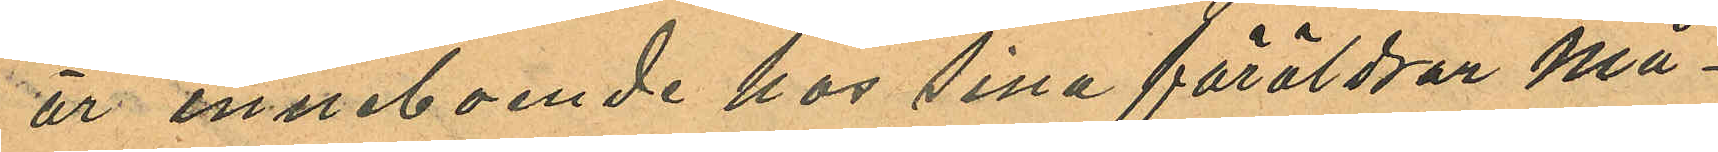är inneboende hos sina föräldrar Må¬
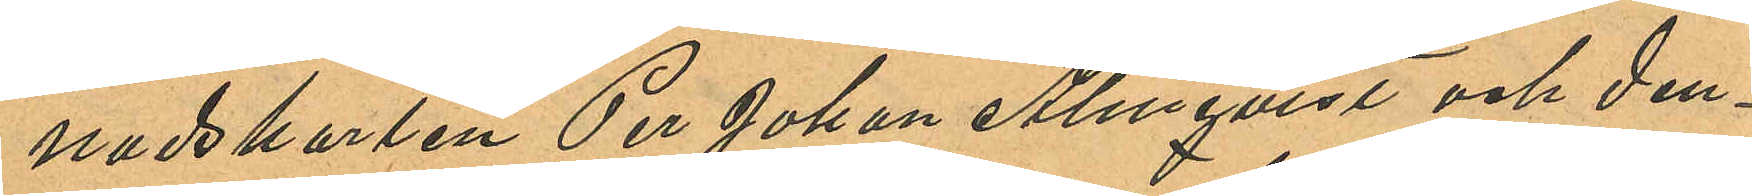nadskarlen Per Johan Almqvist och den¬
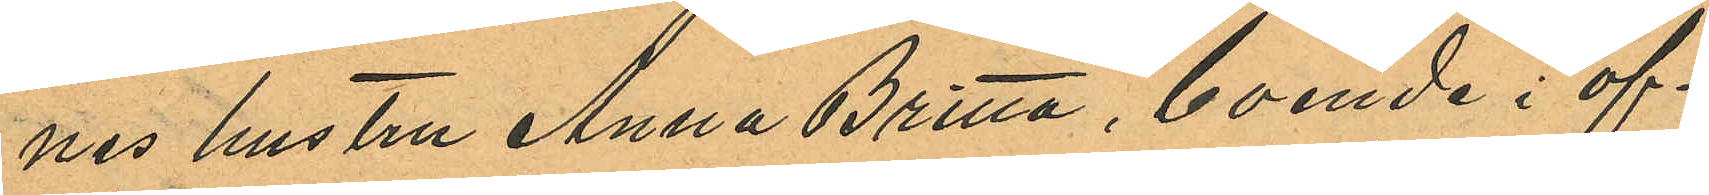nes hustru Anna Britta, boende i of¬
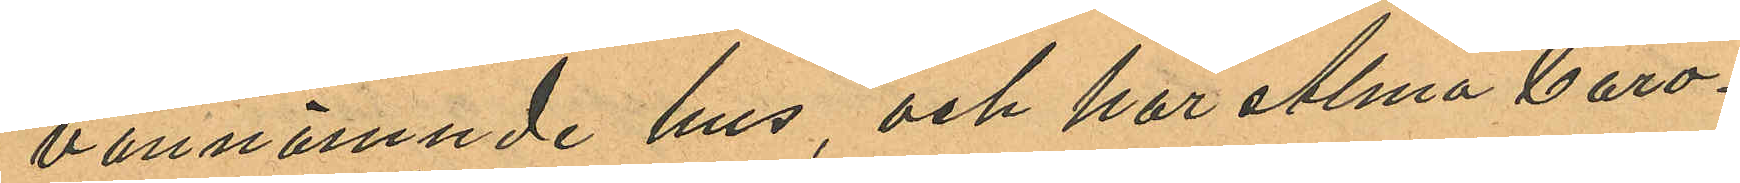vannämnde hus, och har Alma Caro¬
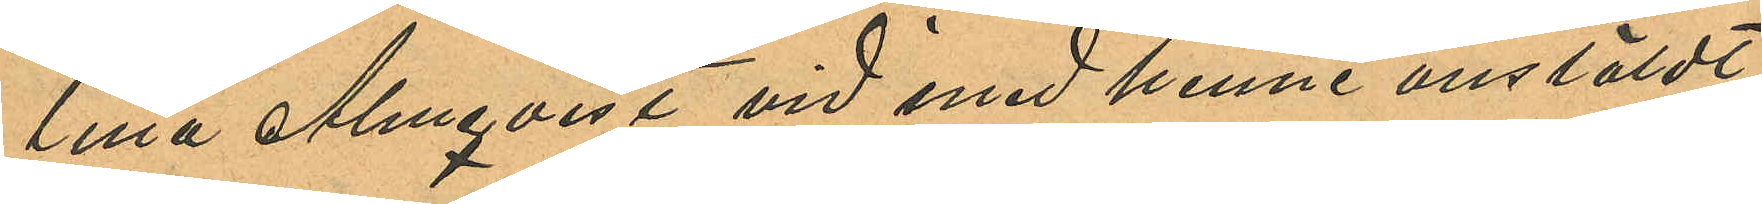lilla Almqvist vid med henne anstäldt
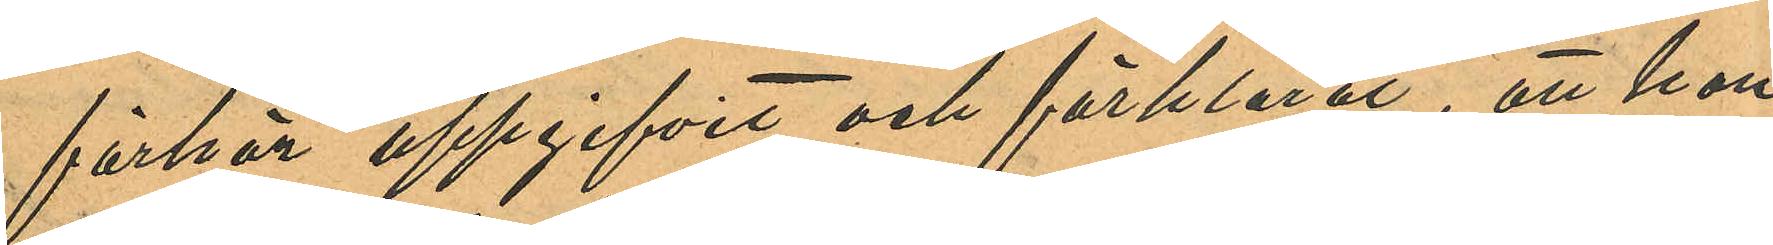förhör uppgifvit och förklarat, att hon
